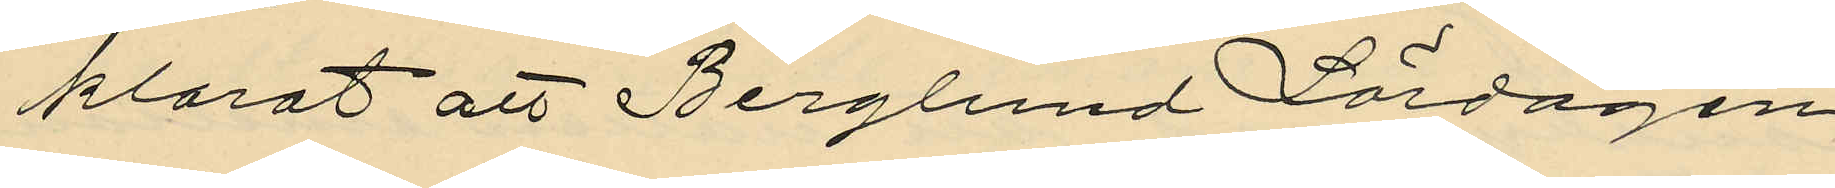klarat att Berglund Lördagen
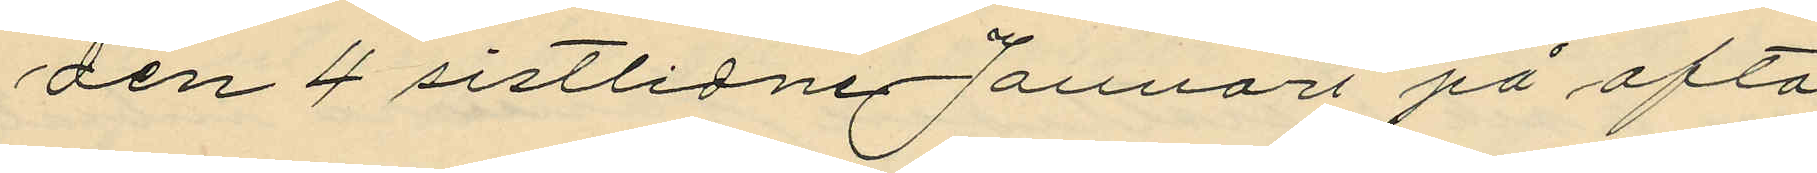den 4 sistlidne Januari på afto¬
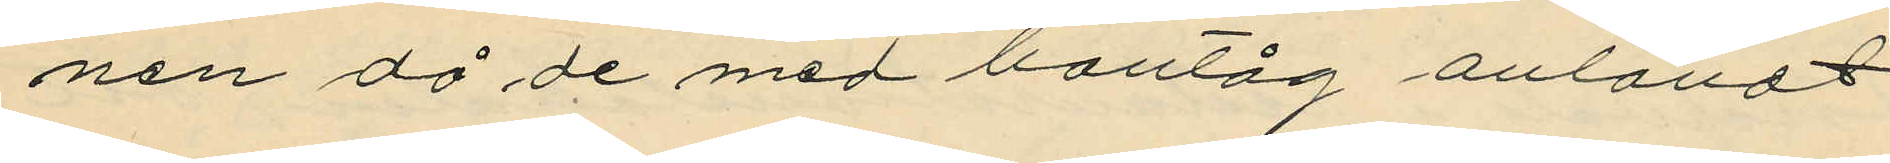nen då de med bantåg anländt
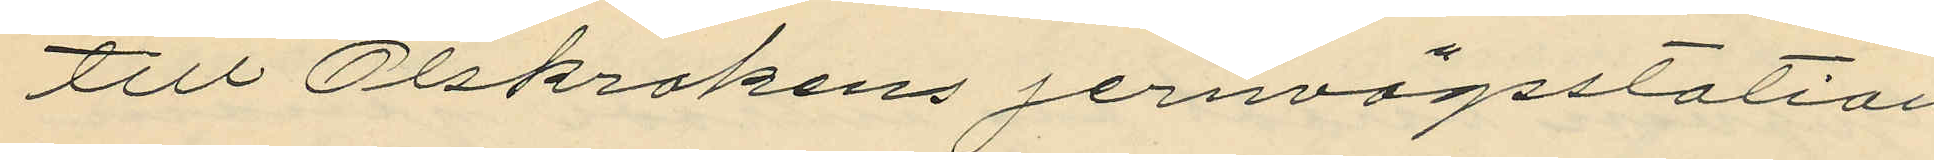till Olskrokens jernvägsstation
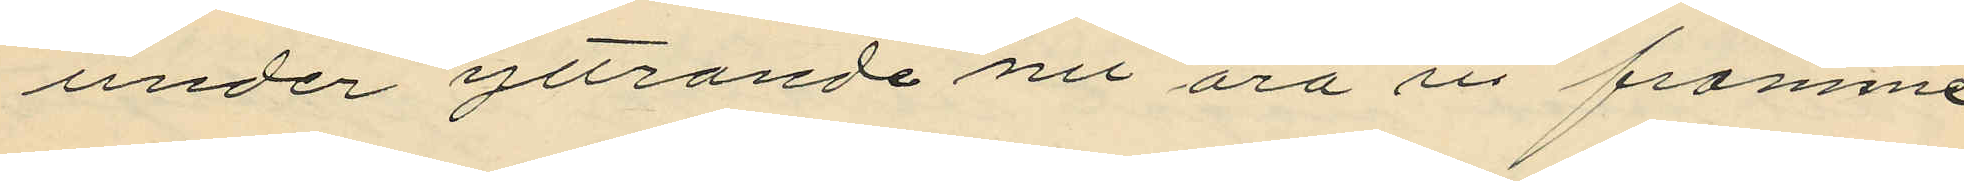under yttrande "nu äro vi framme"
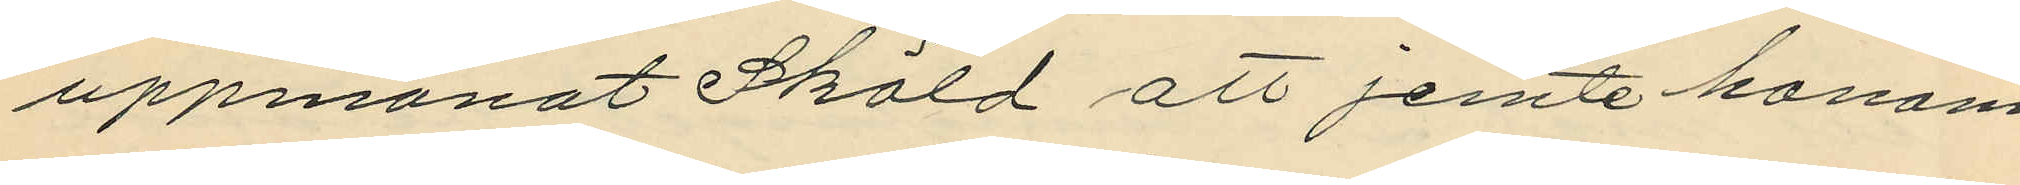uppmanat Sköld att jemte honom
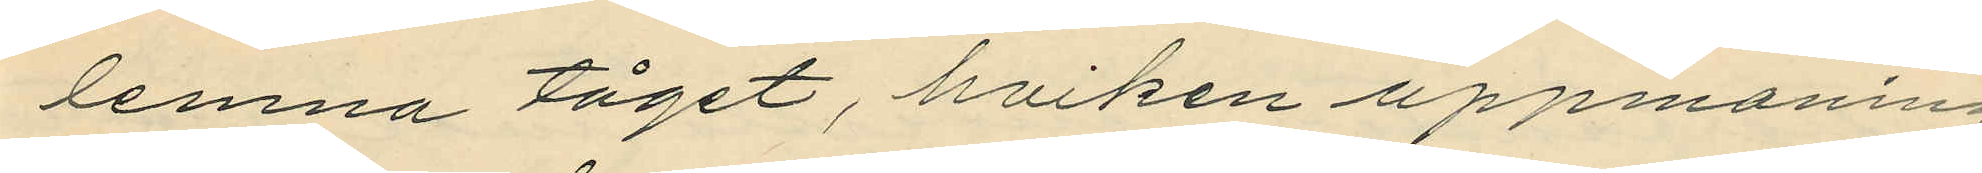lemna tåget, hviken uppmaning
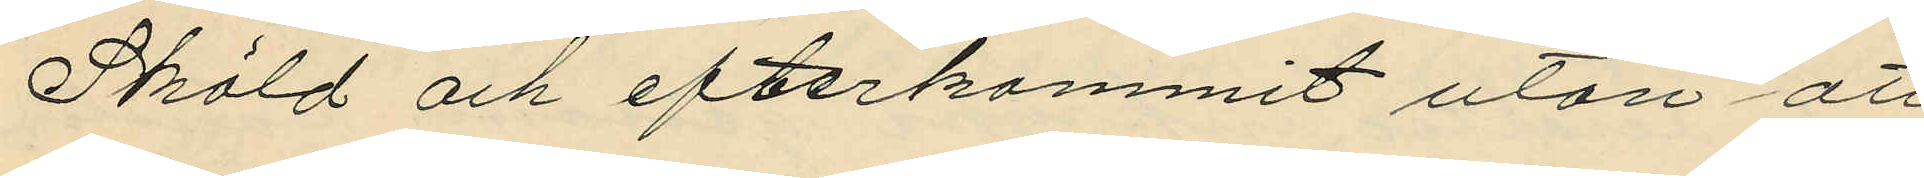Sköld och efterkommit utan att
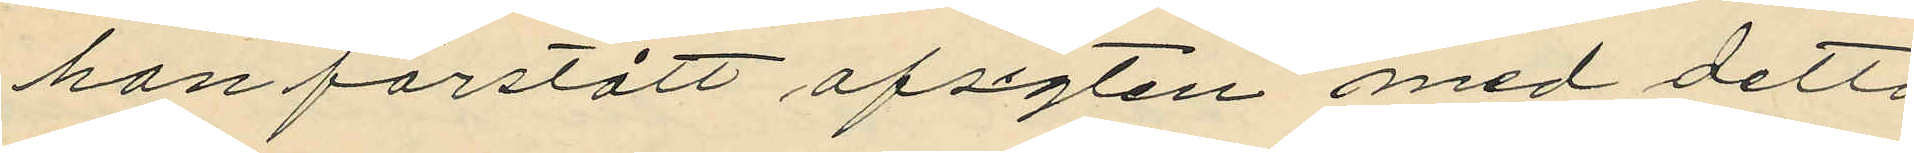han förstått afsigten med detta
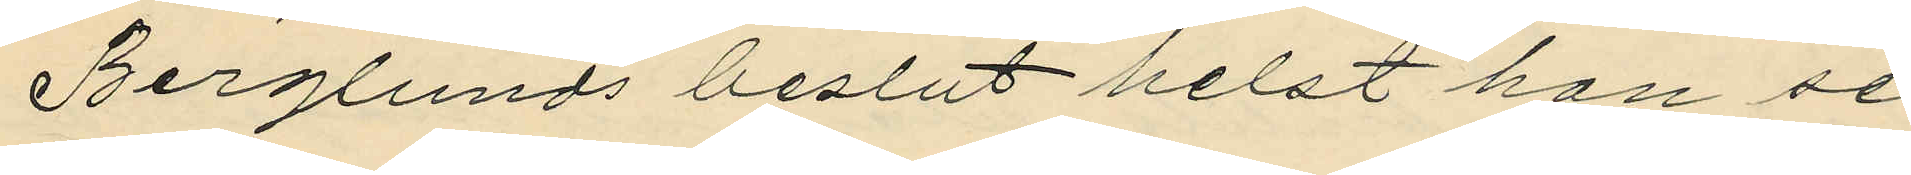Berglunds beslut helst han se¬
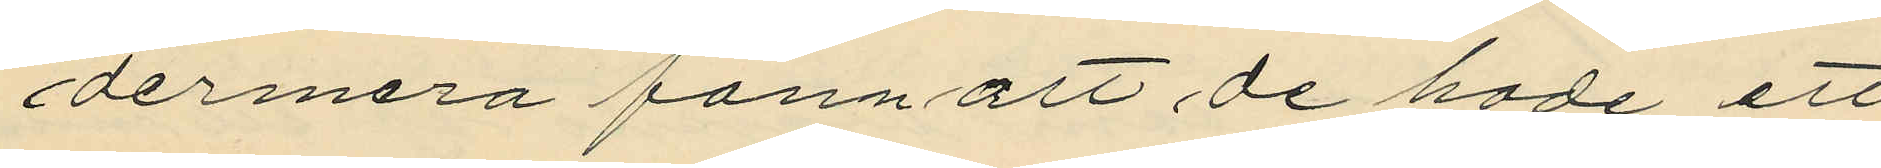dermera fann att de hade ett
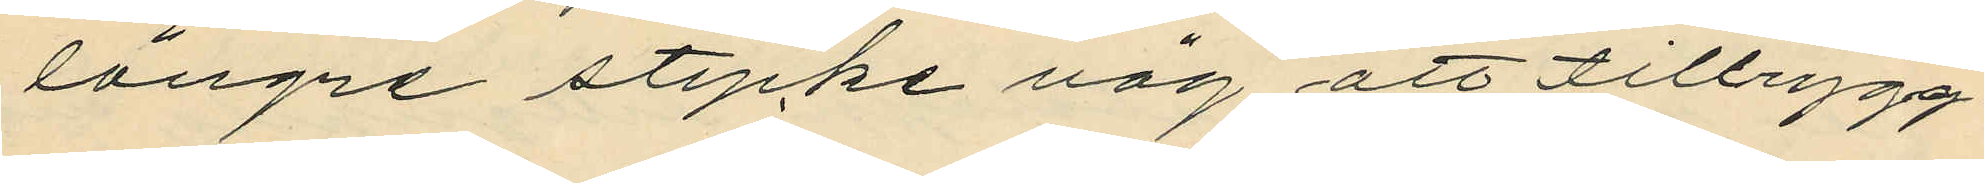längre stycke väg att tillrygg¬
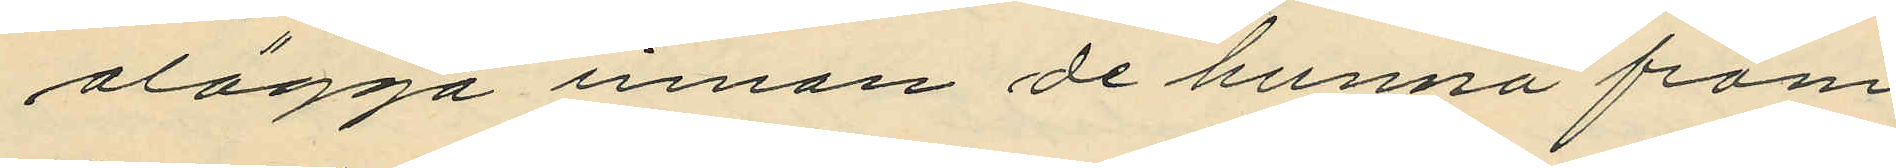alägga innan de hunna fram
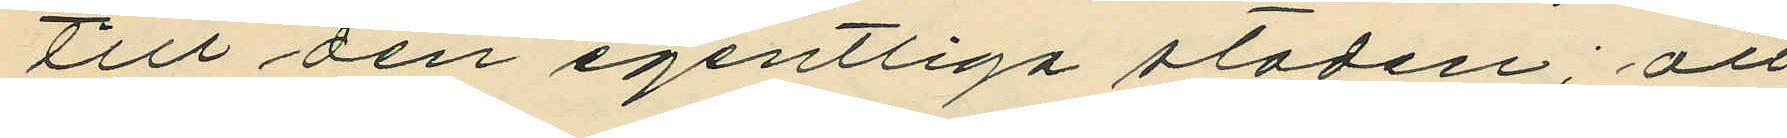till den egentliga staden; att
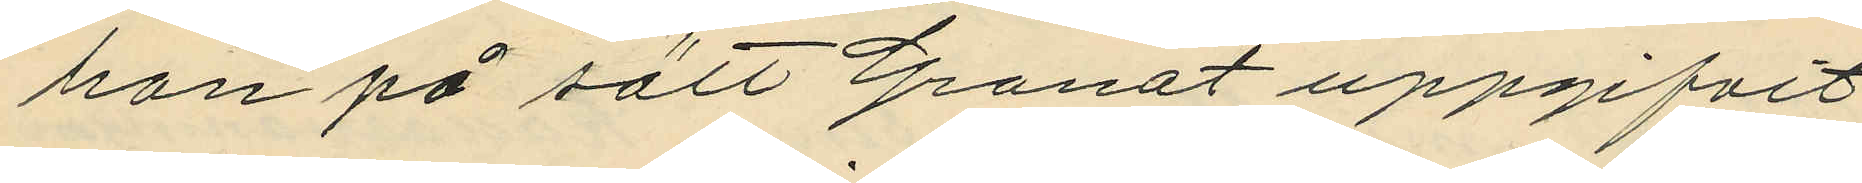han på sätt Granat uppgifvit
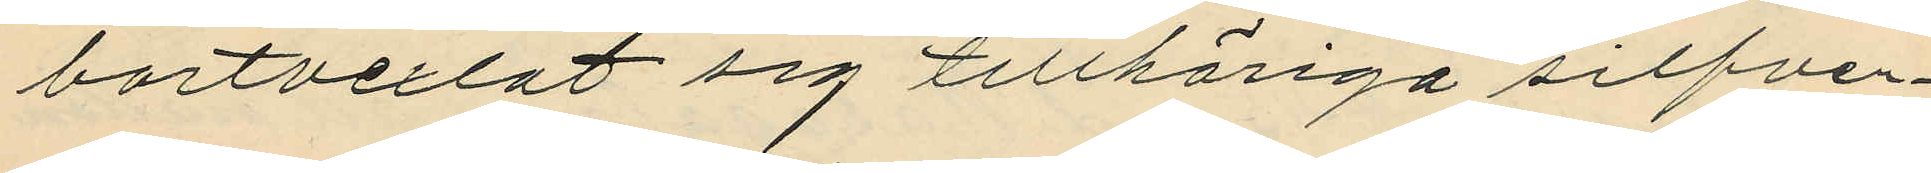bortvexlat sig tillhöriga silfver¬
